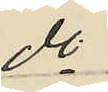do
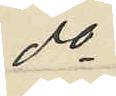do
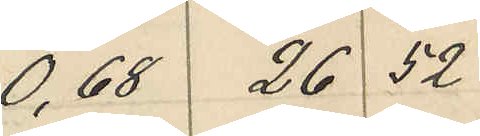0,68 26 52
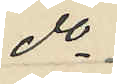do
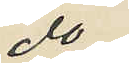do
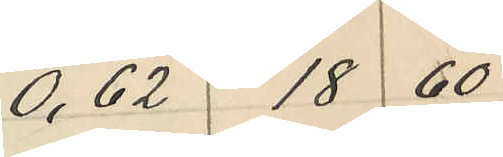0,62 18 60
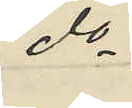do
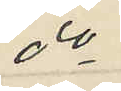do
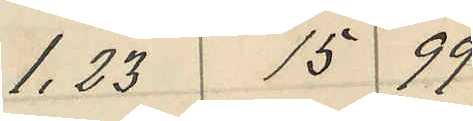1.23 15 99
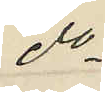do
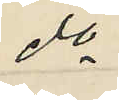do
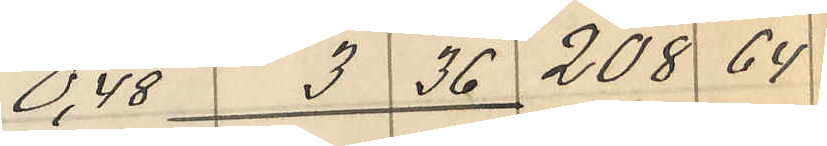0,48 3 36 208 64
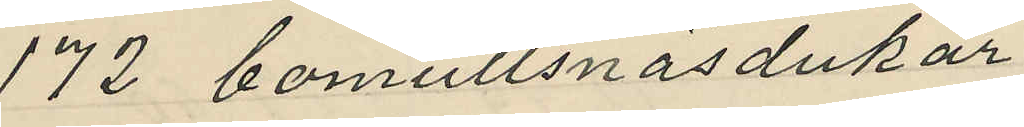172 bomullsnäsdukar
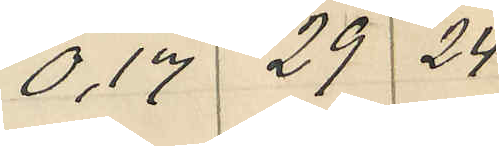0,17 29 24
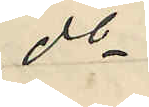do
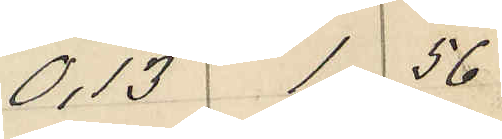0.13 1 56
